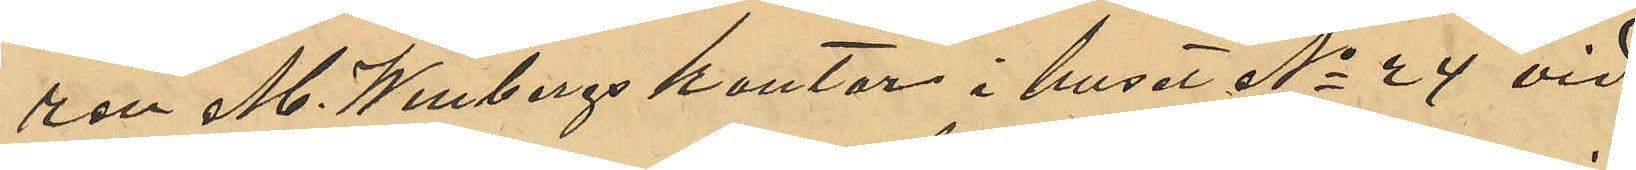ren M. Winbergs kontor i huset No 4 vid
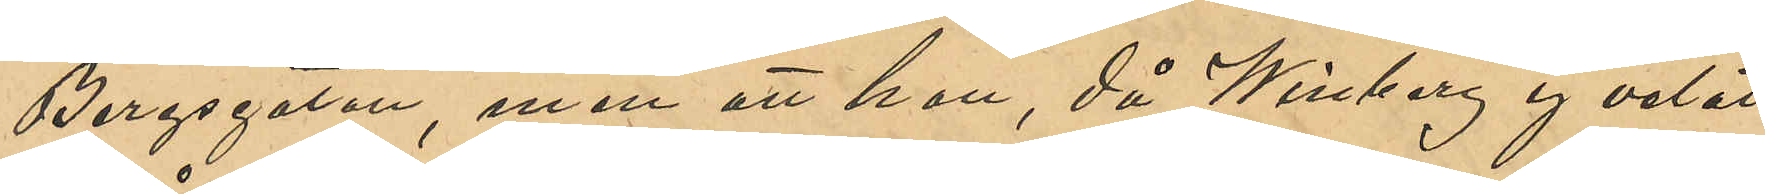Bergsgatan, men att hon, då Winberg ej velat
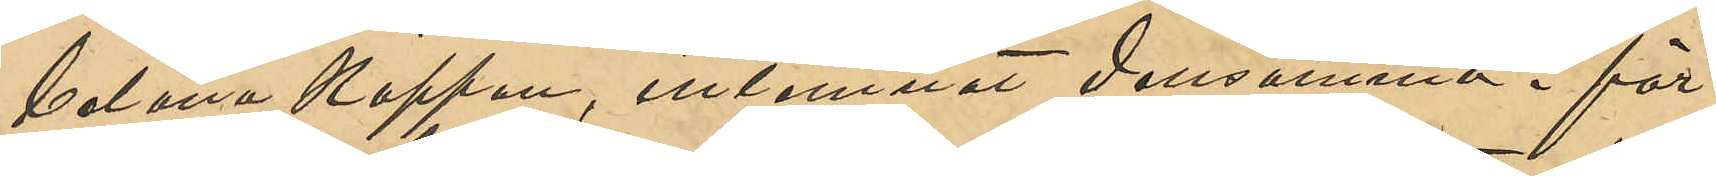belåna kappan, inlemnat densamma i för¬
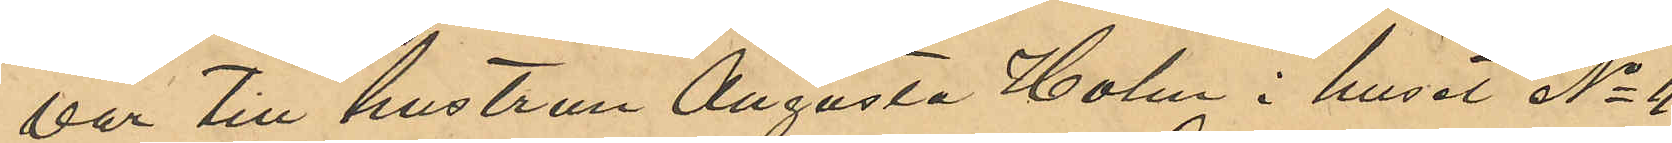var till hustrun Augusta Holm i huset No 11
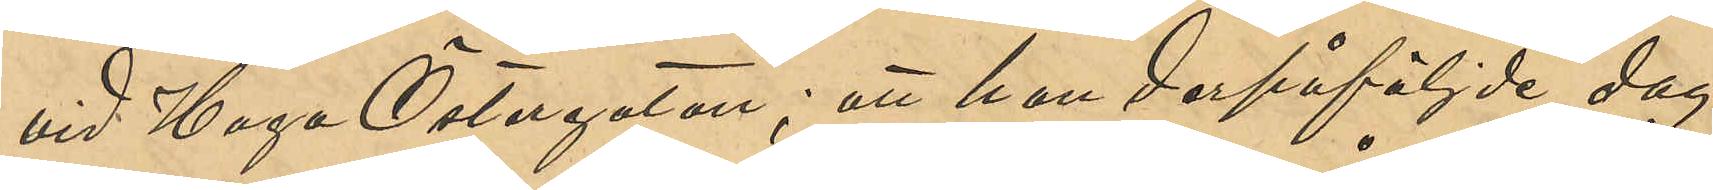vid Haga Östergata; att hon derpåföljde dag
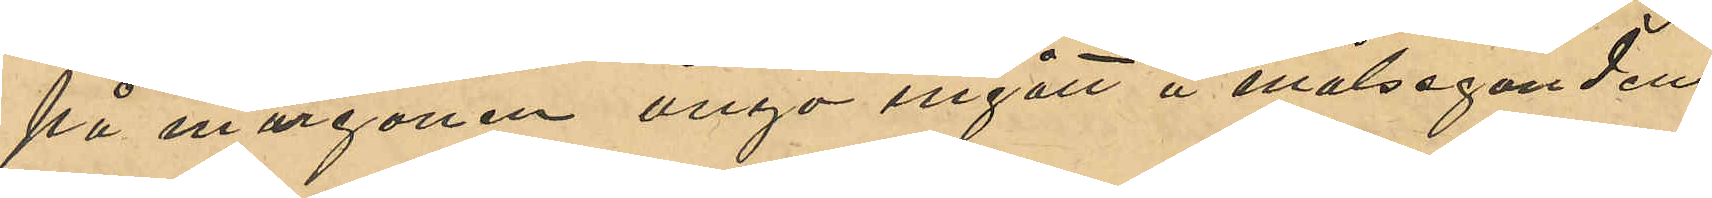på morgonen ånyo ingått i målsegandens
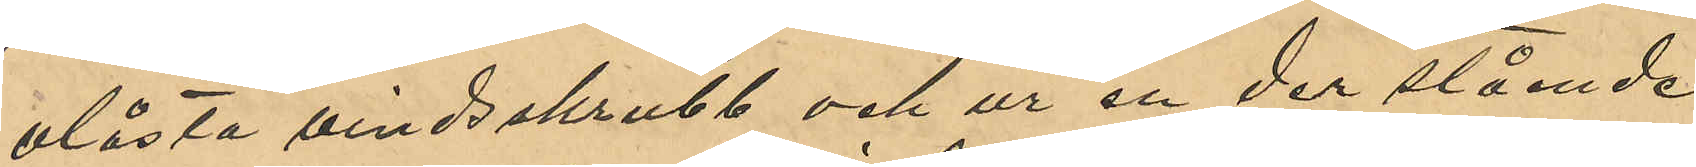olåsta vindsskrubb och ur en der stående
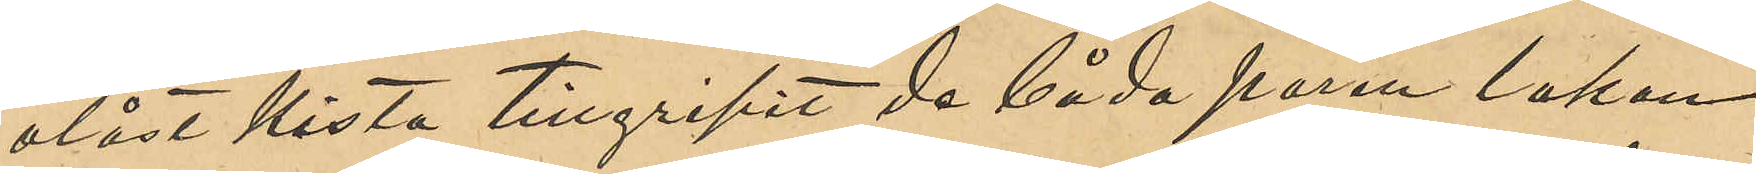olåst kista tillgripit de båda paren lakan
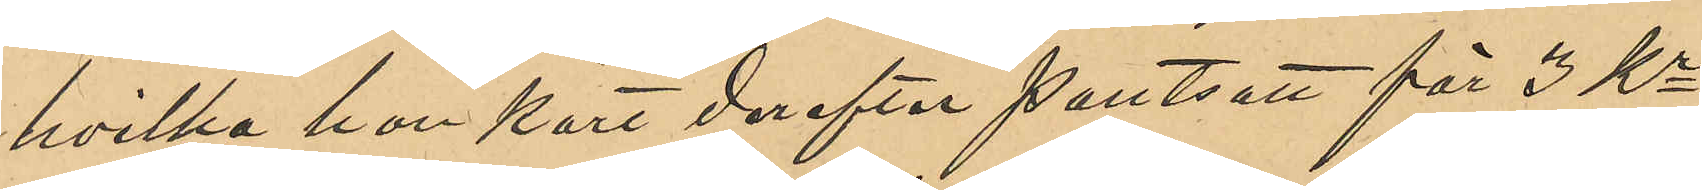hvilka hon kort derefter pantsatt för 3 Kr
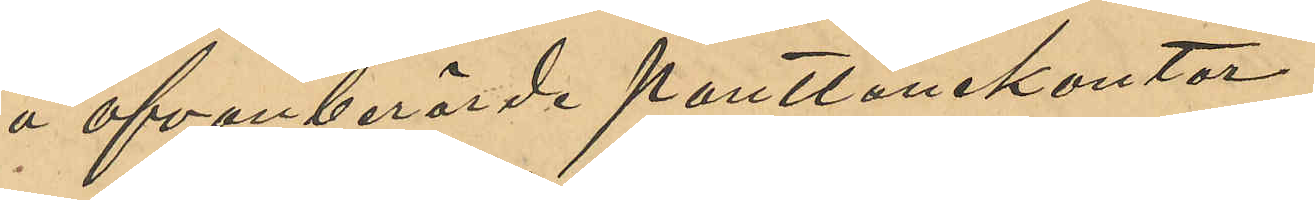å ofvanberörde Pantlånekontor.
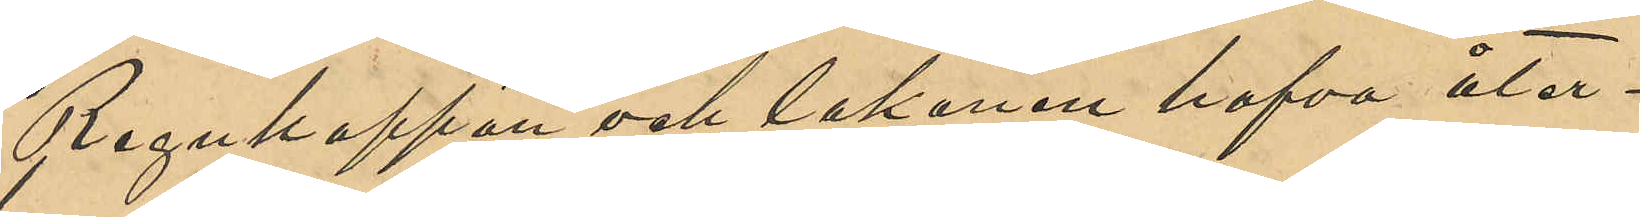Regnkappan och lakanen hafva åter¬
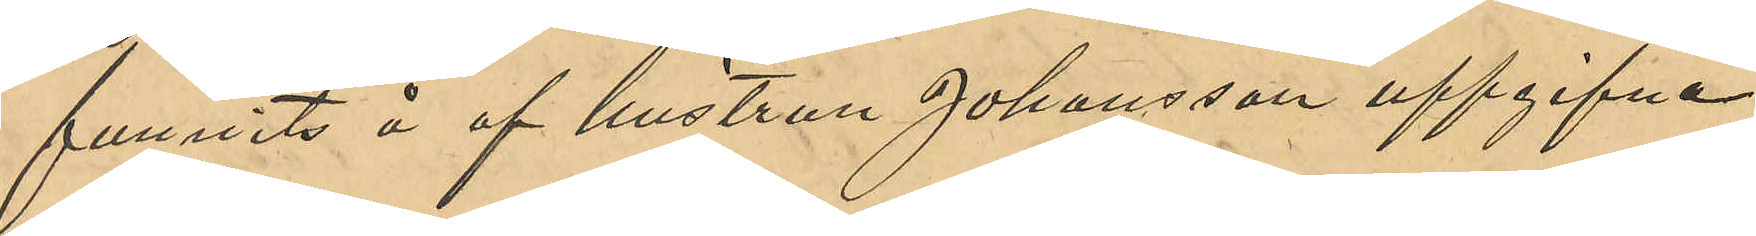funnits å af hustrun Johansson uppgifna
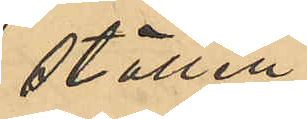ställen.
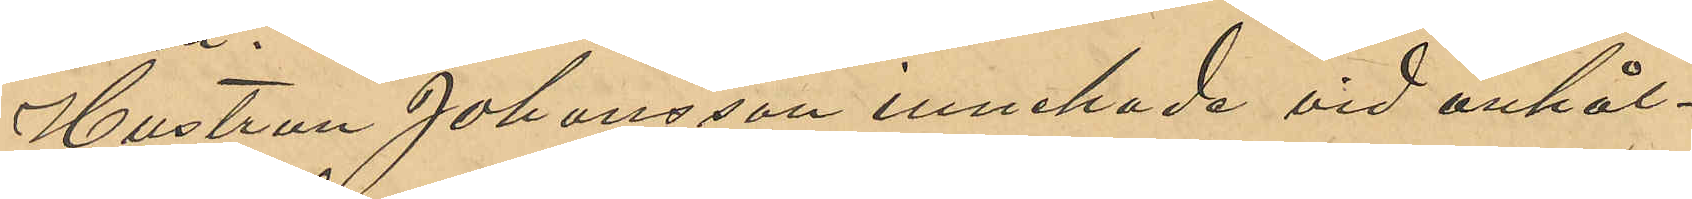Hustrun Johansson innehade vid anhål¬
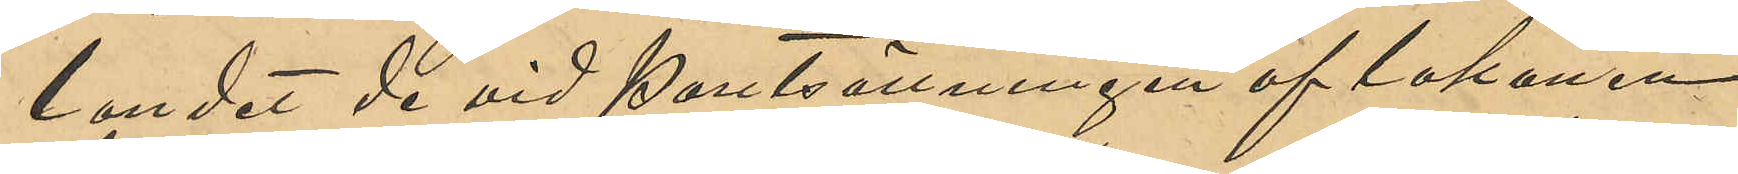landet de vid pantsättningen af lakanen
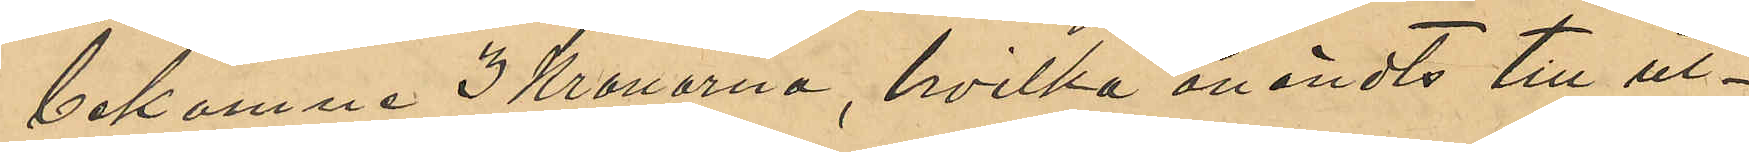bekomne 3 Kronorna, hvilka användts till ut¬
